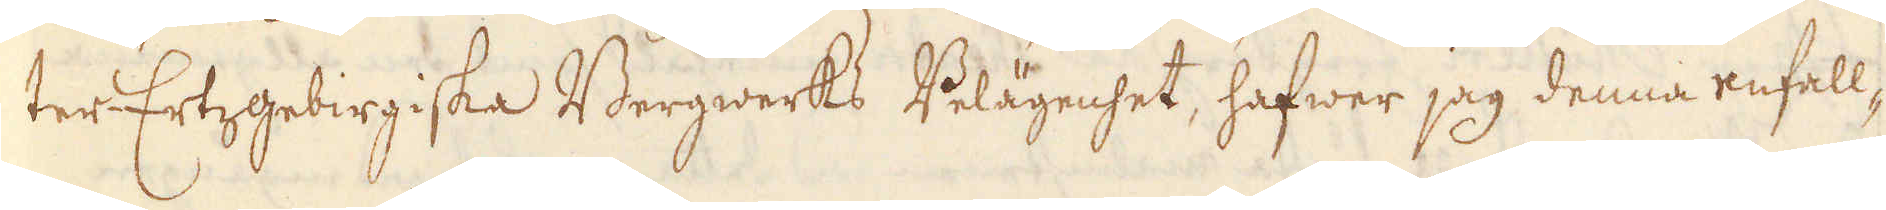ter-Ertzgebirgiska Bergwerks Bolägenhet, hafwer jag denna enfell-
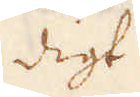digt
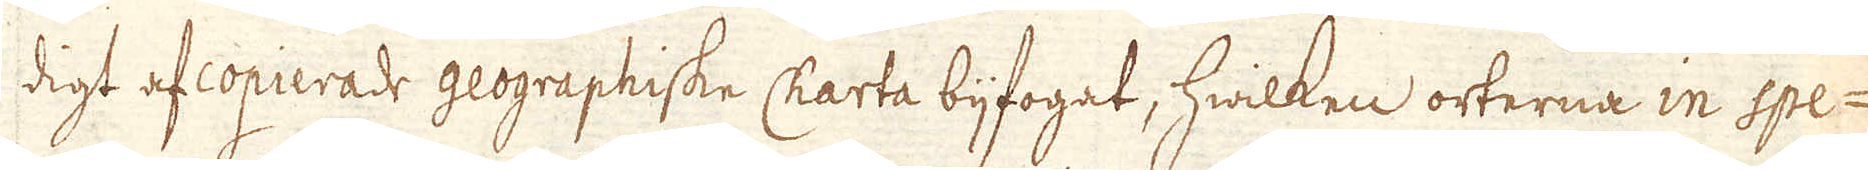digt afcopierade geographiske Charta bijfogat, hwilken orterna in Spe-
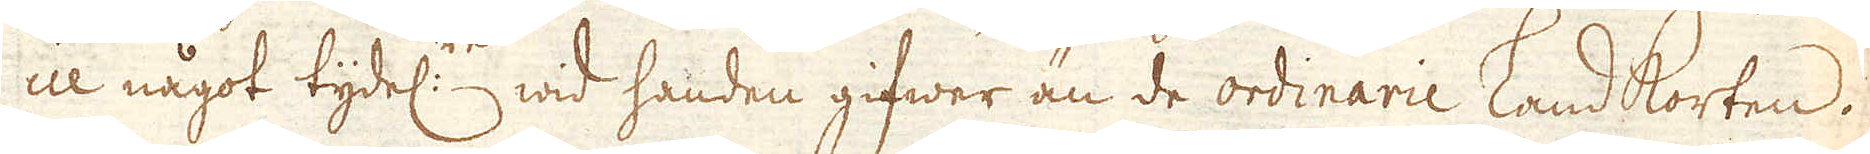cie något tydel:n wid handen gifwer än de ordinarie land korten.
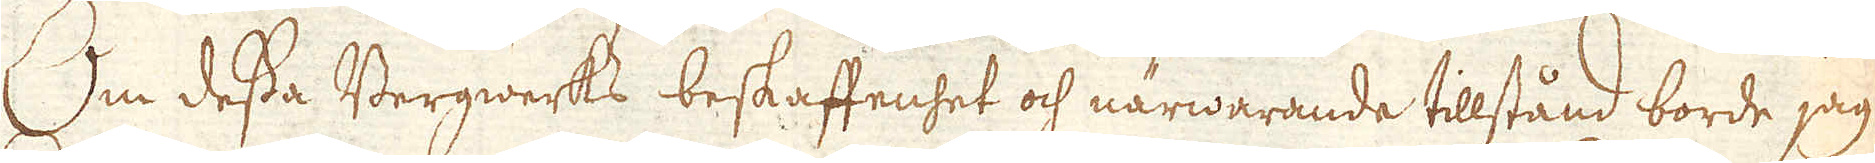Om dessa Bergwerks beskaffenhet och närwarande tilstånd borde jag
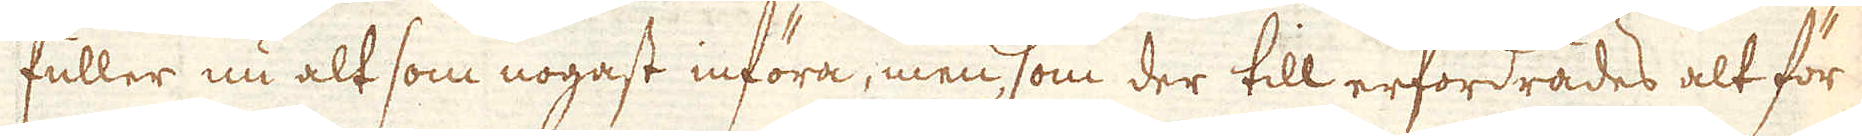fuller nu alt som nogast införa, men som der till erfordrades alt för
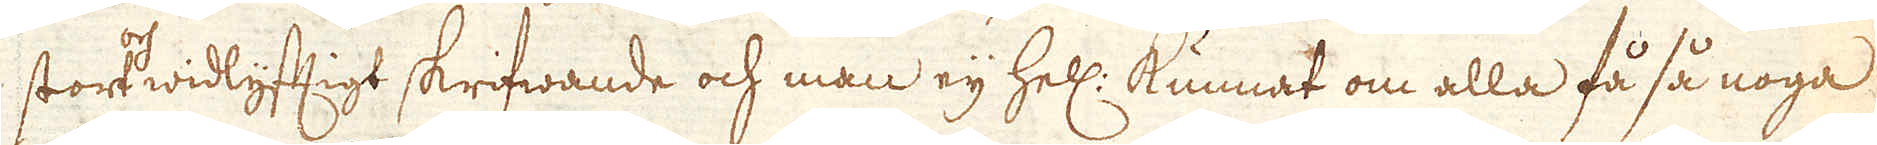stort widlyfttigt skrifwande och man eij hell: kunnat om alla få så noga
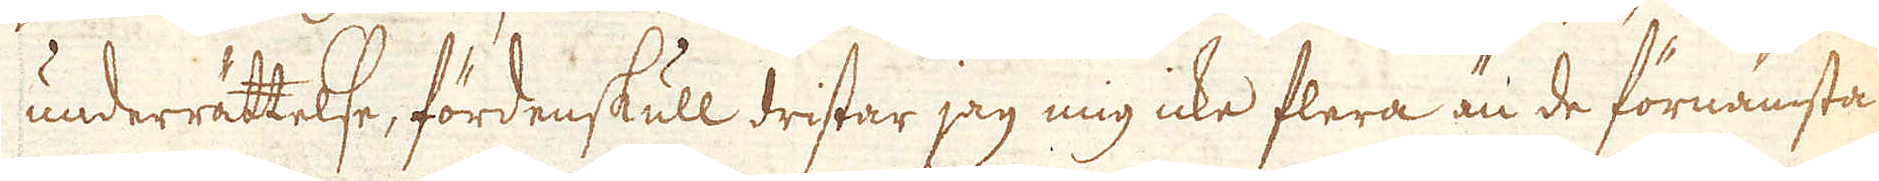underrättelse, fördenskull dristar jag mig icke flera än de förnämsta
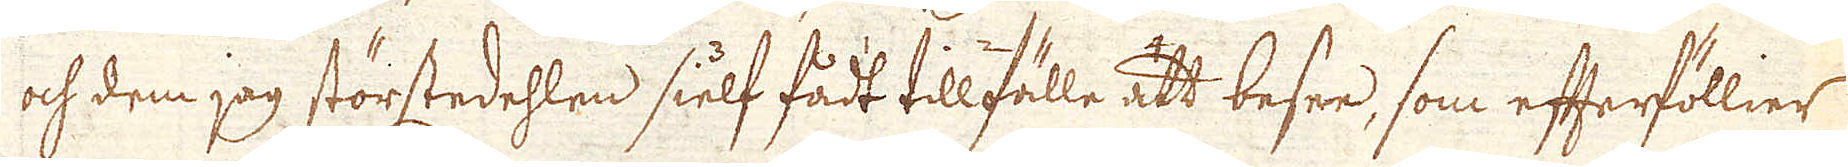och dem jag störstedehlen sielf fådt tillfälle att besee, som efterföllier
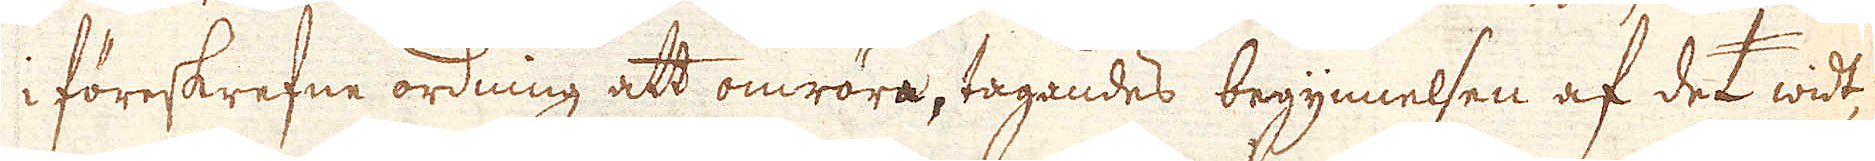i föreskrefne ordning att omröra, tagandes begynnelsen af det widt-
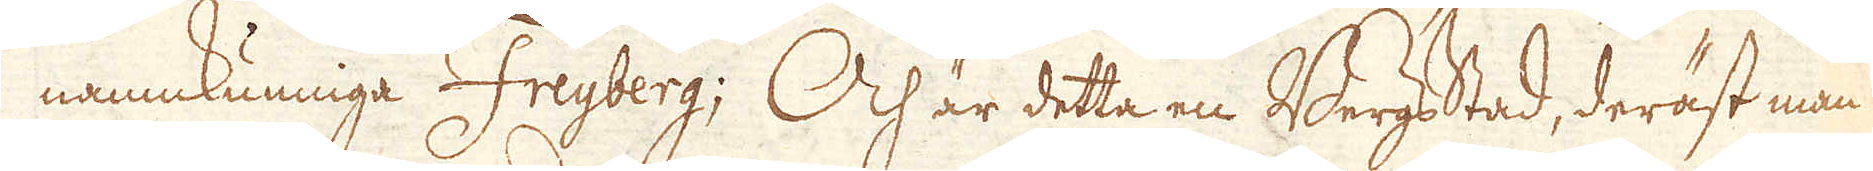namnkunniga Freyberg; Och är detta en Bergsstad, deräst man
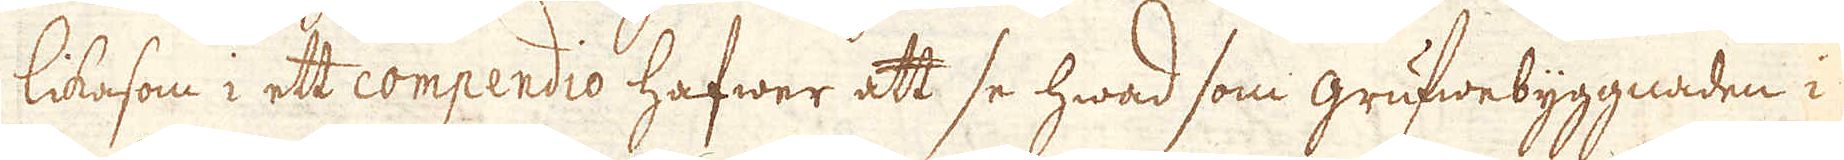likasom i ett compendio hafwer att se hwad som grufwebyggnaden i
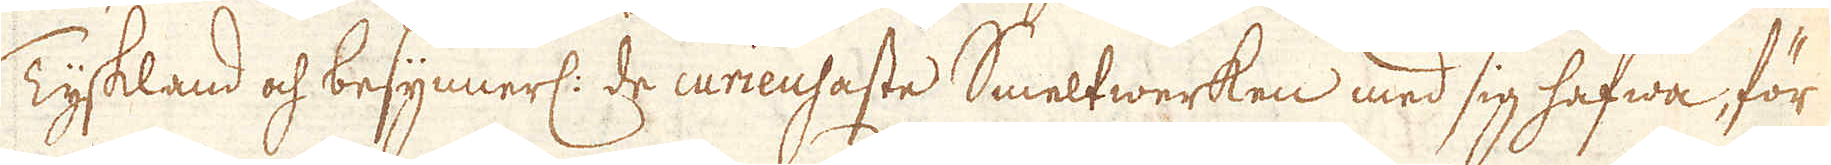Tyskland och besynnerl: de curieusaste Smeltwerken med sig hafwa, för
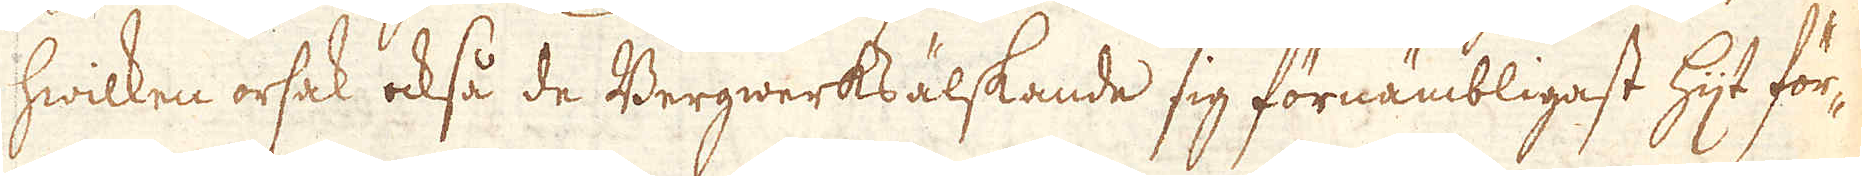hwilken orsak också de Bergwerksälskande sig förnämbligast hijt för-
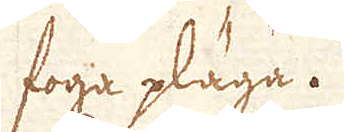foga pläga.
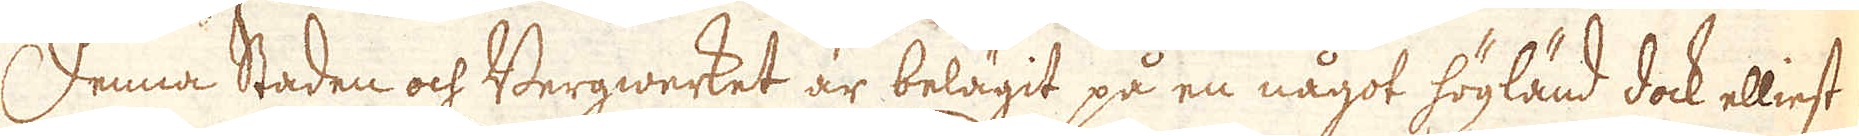Denna Staden och Bergwerket är belägit på en något högländ dock elliest
